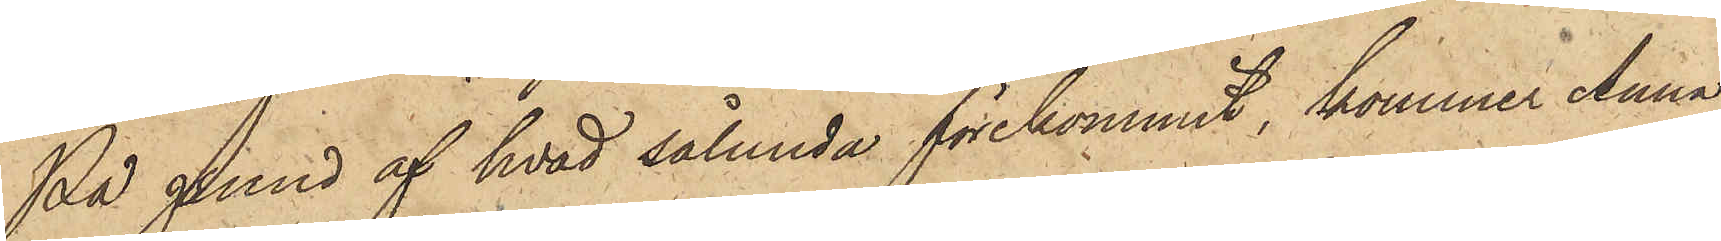På grund af hvad sålunda förekommit, kommer Anna
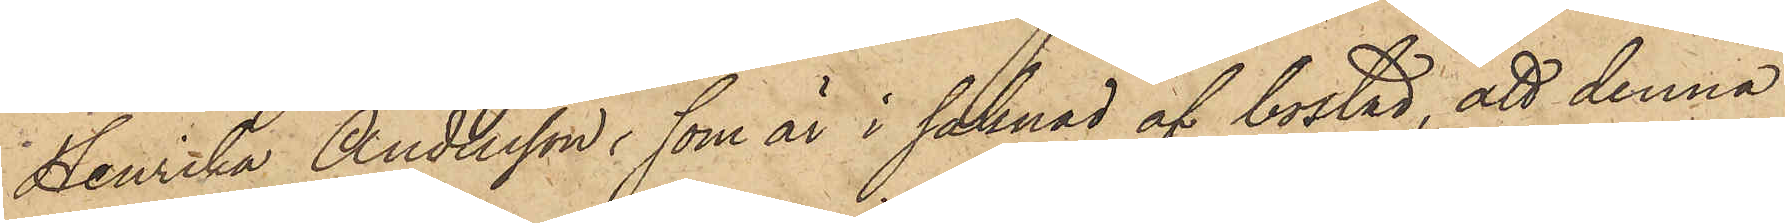Henrika Andersson, som är i saknad af bostad, att denna
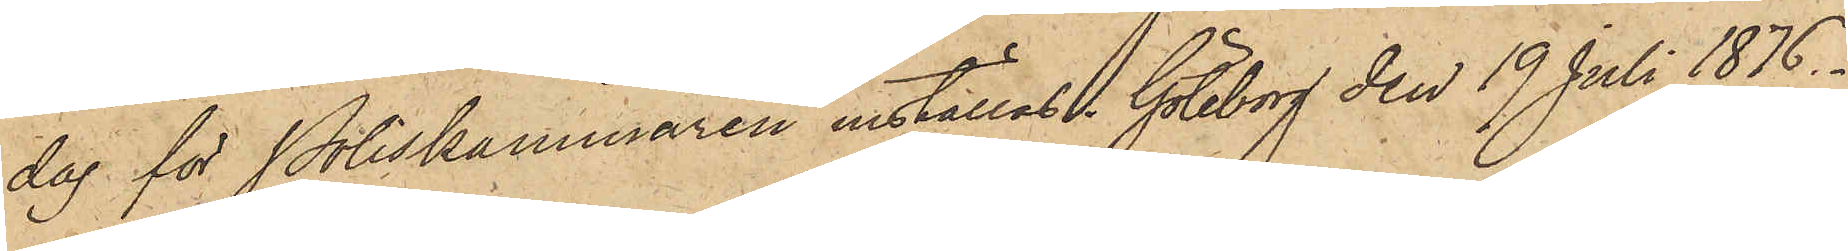dag för Poliskammaren inställas. Göteborg den 19 Juli 1876.
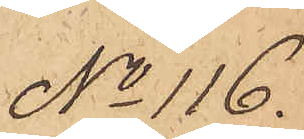No 116.
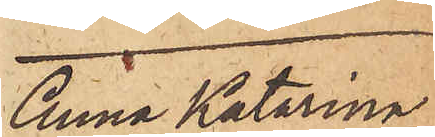Anna Katarina
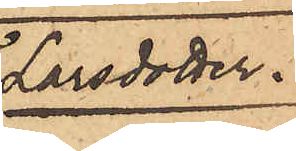Larsdotter.
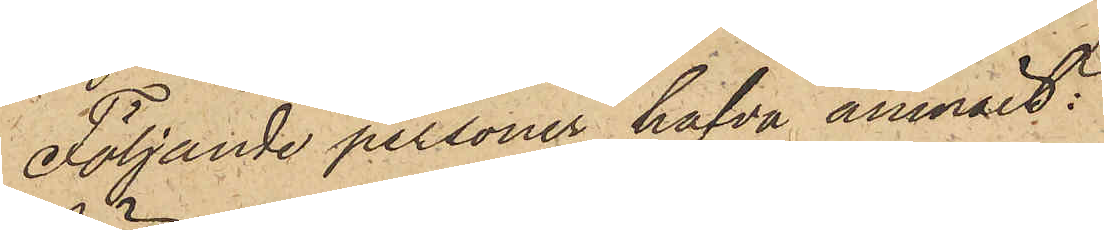Följande personer hafva anmält:
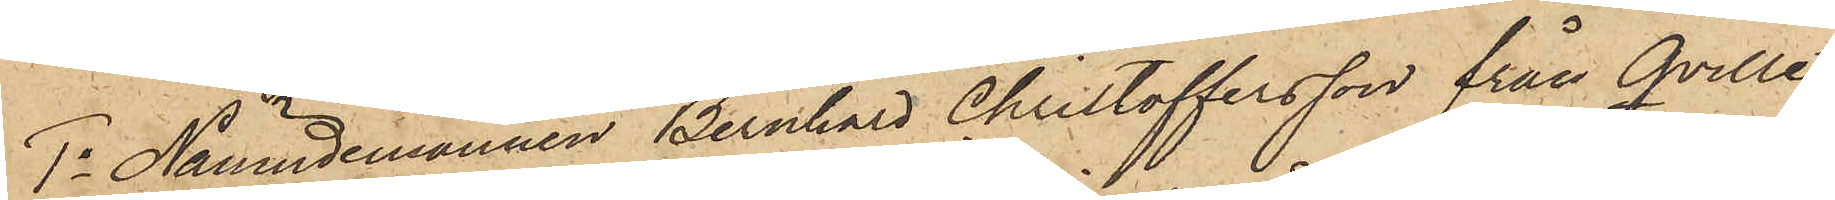1o Nämndemannen Bernhard Christoffersson från Qville¬
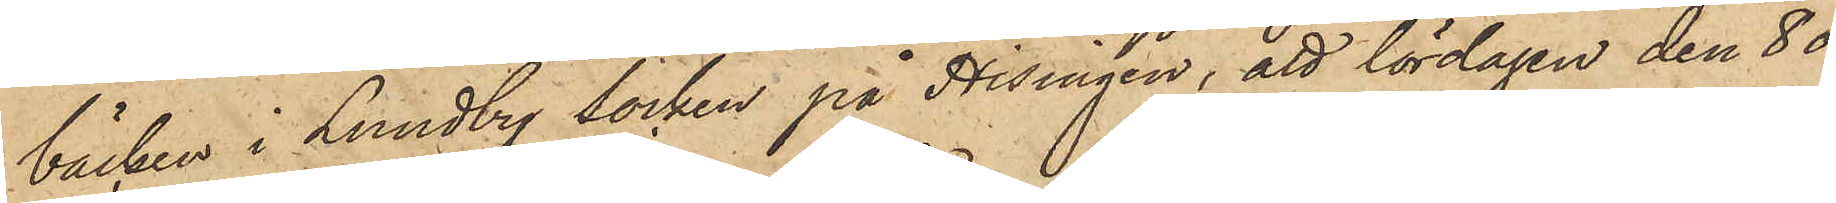bäcken i Lundby socken på Hisingen; att lördagen den 8 ds
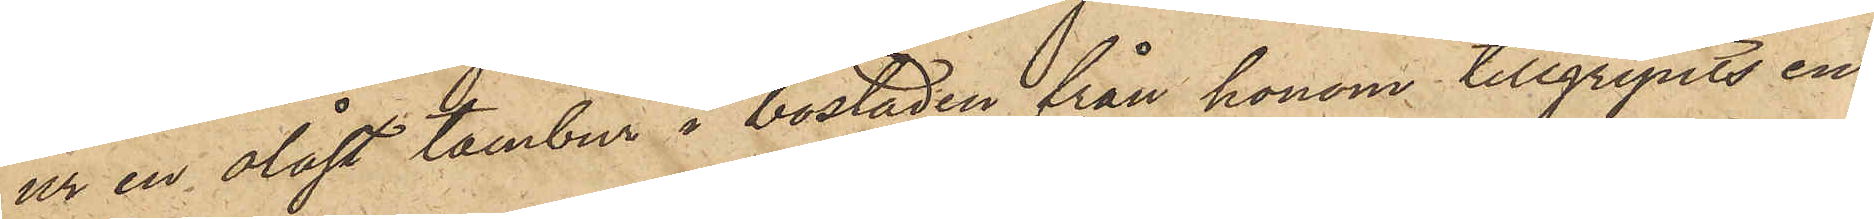ur en olåst tambur i bostaden från honom tillgripits en
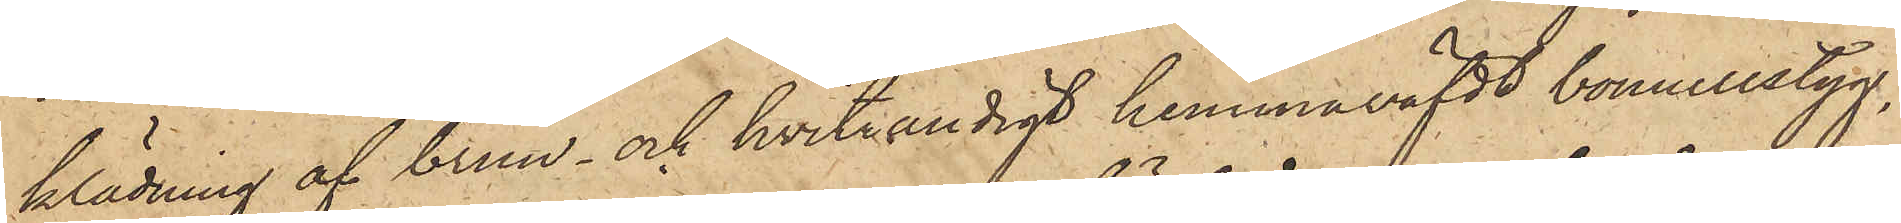klädning af brun och hvitrandigt hemmaväfdt bomullstyg,
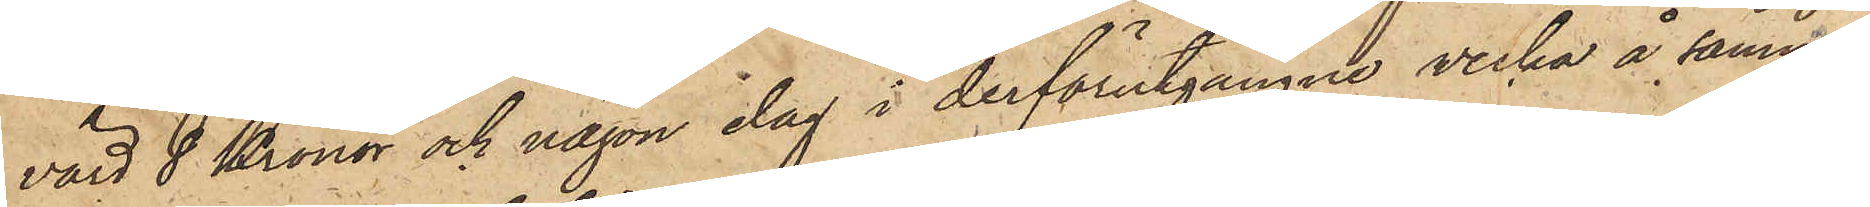värd 8 Kronor och någon dag i derförutgångne vecka å samma
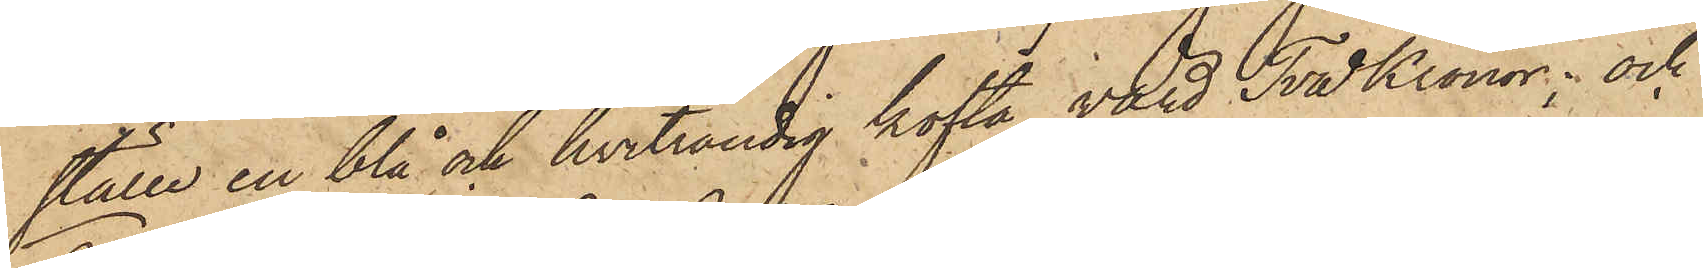ställe en blå och hvitrandig kofta, värd Två Kronor; och
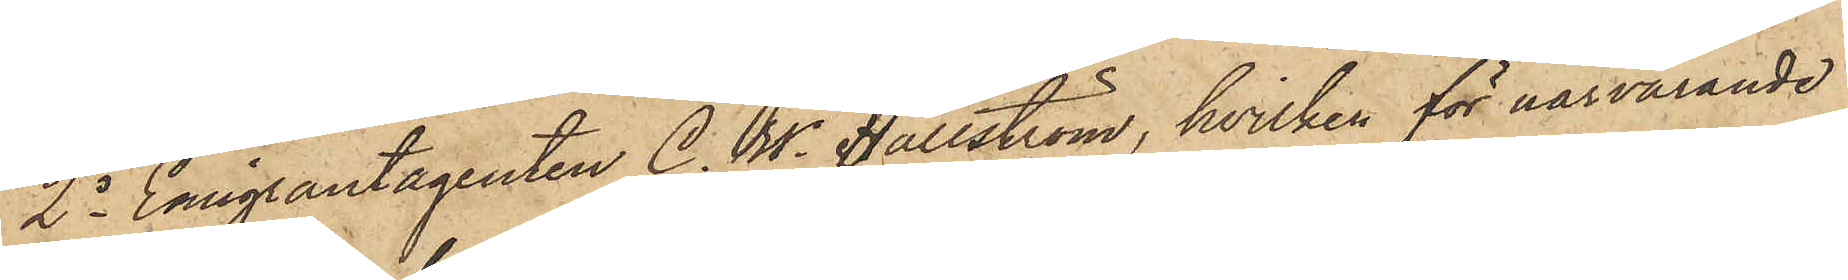2o Emigrantagenten C. W. Hällström, hvilken för närvarande
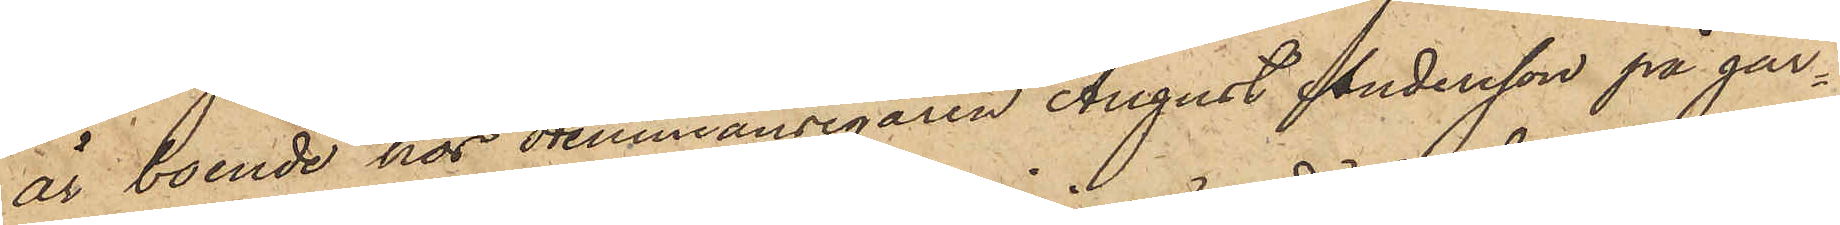är boende hos Hemmansegaren August Andersson på går¬
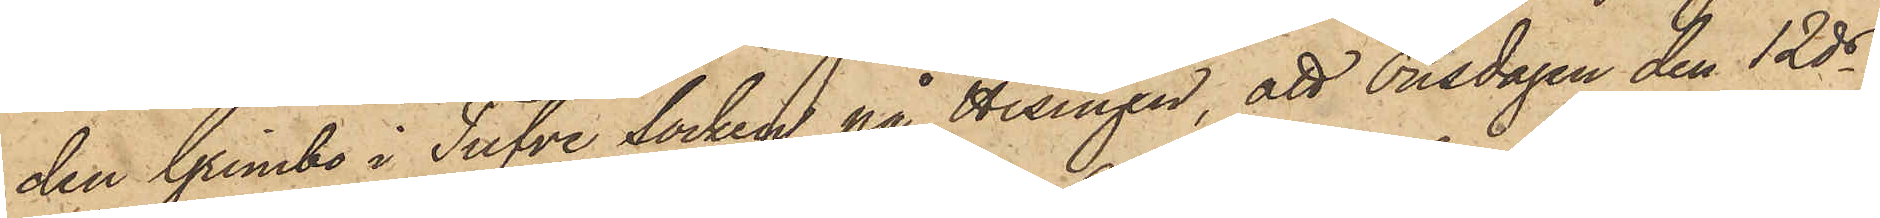den Grimbo i Tufve socken på Hisingen, att onsdagen den 12 ds
